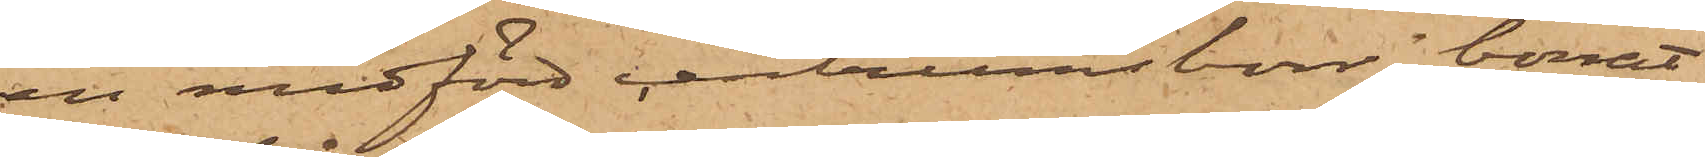en medförd centrumsborr borrat
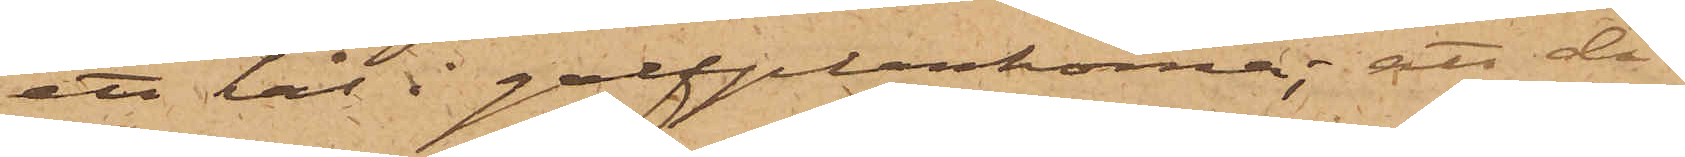ett hål i golfplankorna; att då
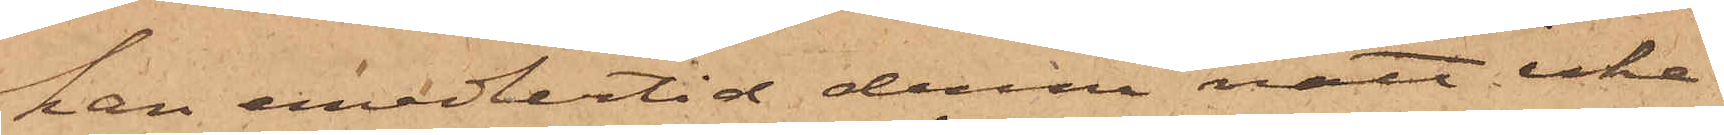han emedlertid denna natt icke
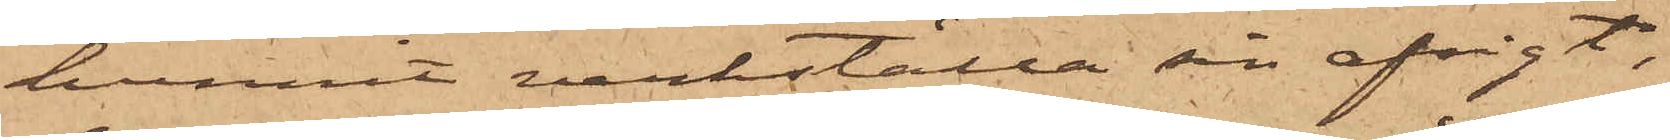hunnit verkställa sin afsigt,
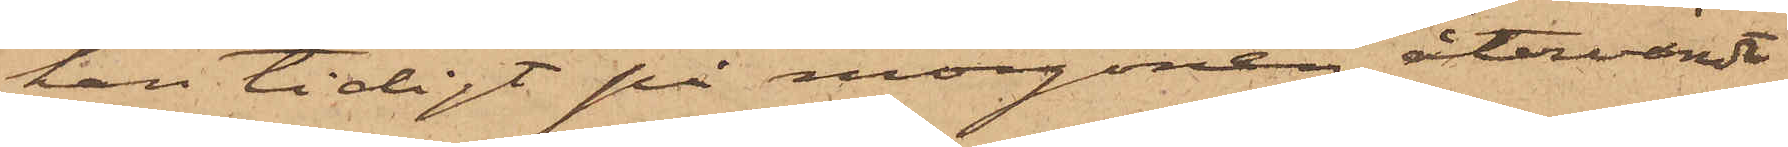han tidigt på morgonen återvändt
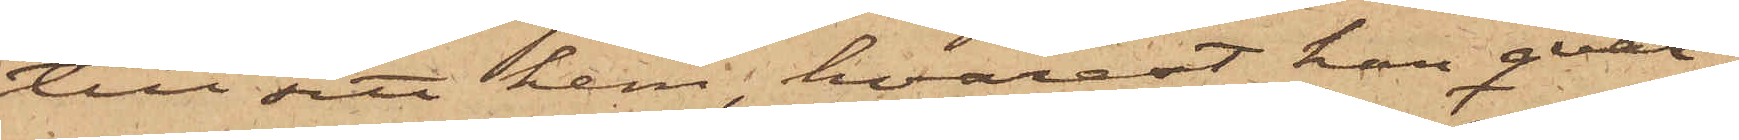till sitt hem, hvarest han qvar¬
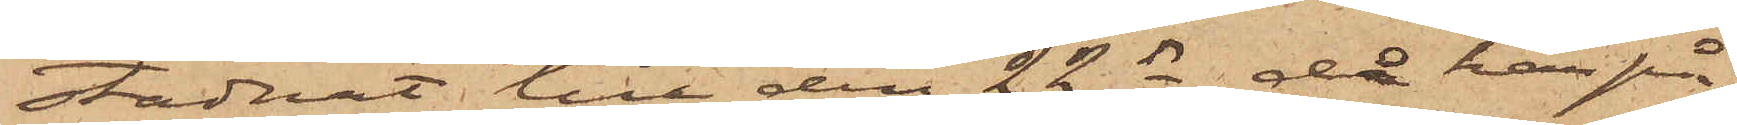stadnat till den 22 ds, då han på
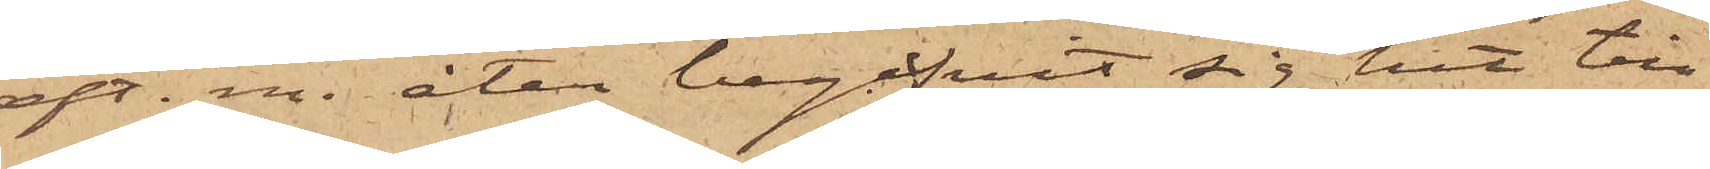eft. m. åter begifvit sig hit till
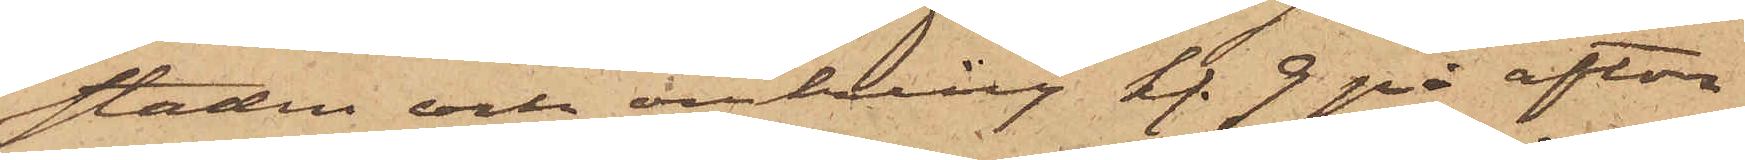staden och omkring kl. 9 på afton
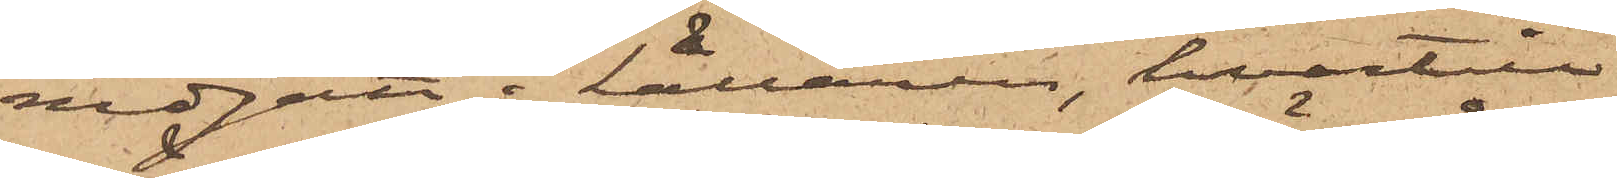nedgått i källaren, hvartill
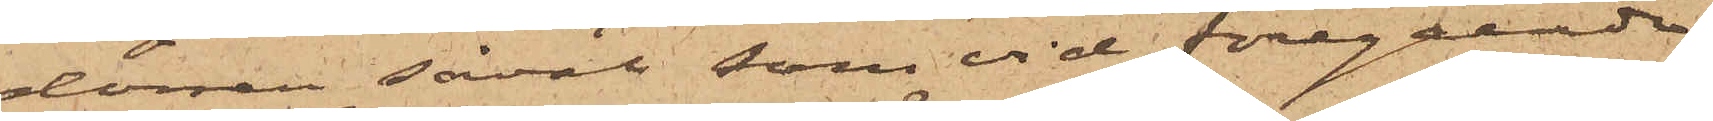dörren såväl som vid föregående
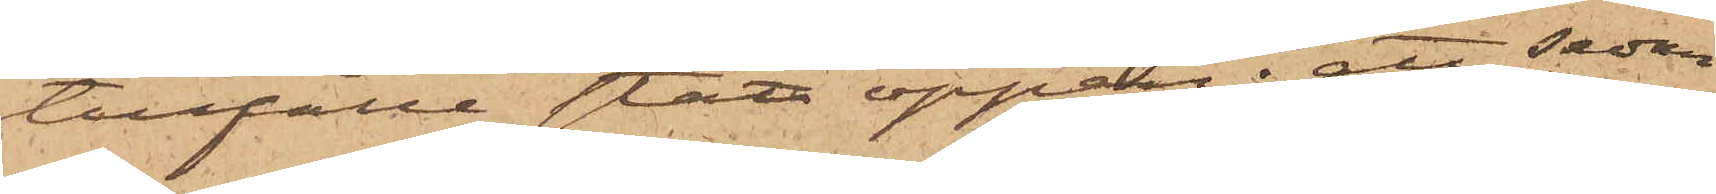tillfälle stått öppen; att sedan
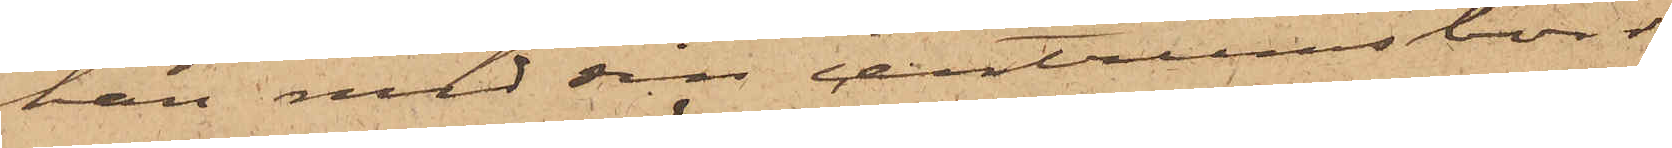han med sin centrumsborr
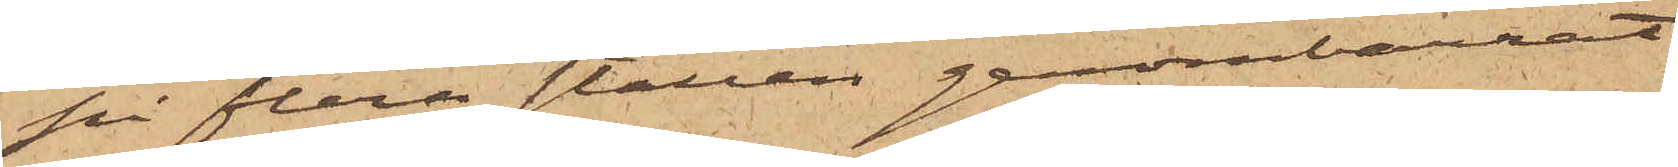på flera ställen genomborrat
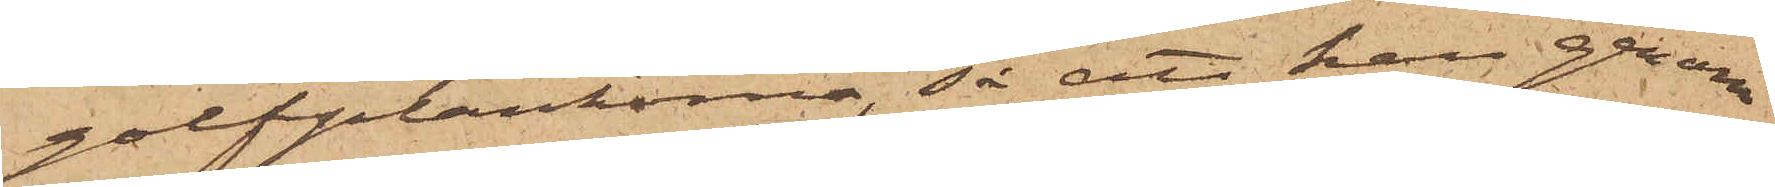golfplankorna, så att han genom
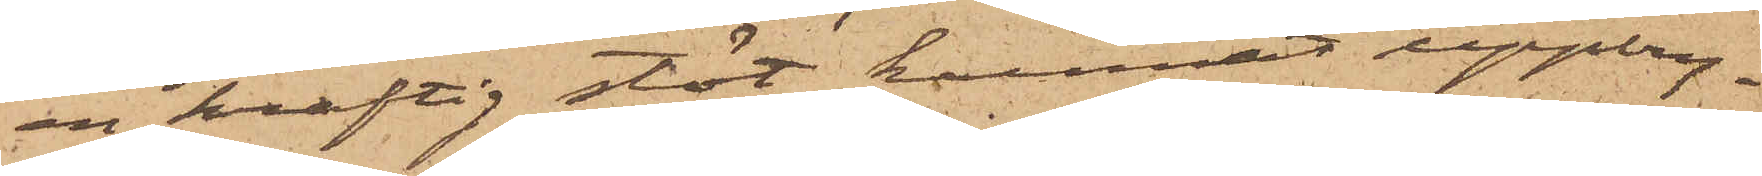en kraftig stöt kunnat uppbry¬
